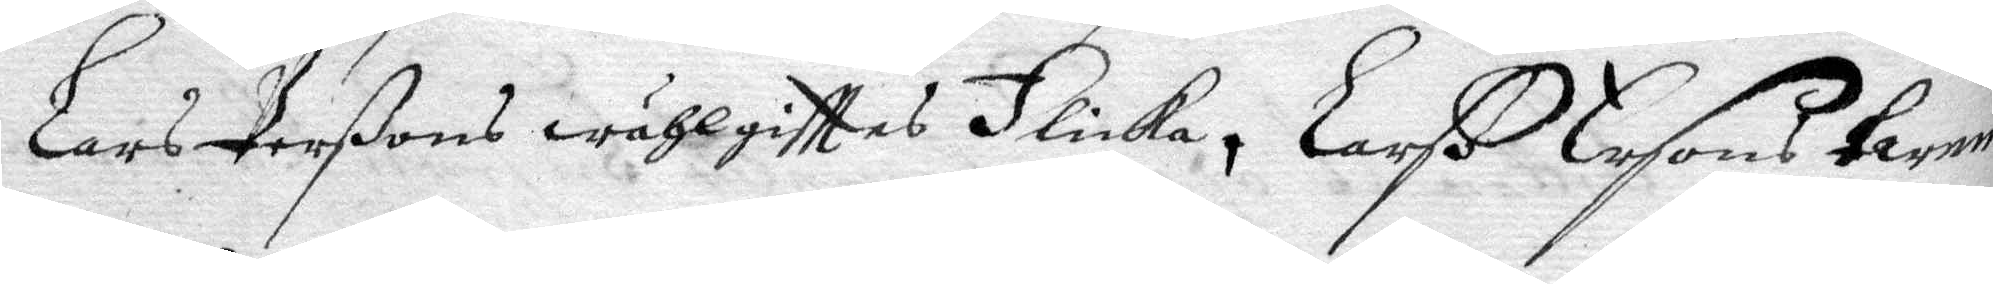Lars Perßons wählgittes Flicka, Larß Ersons twenne
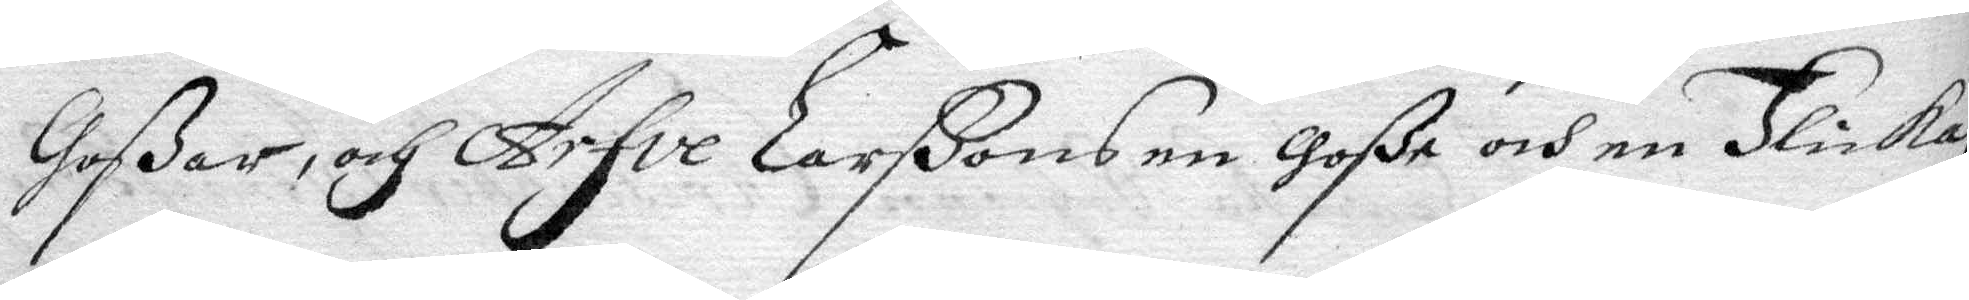Goßar, och Arfve Larßons en Goße och en Flicka,
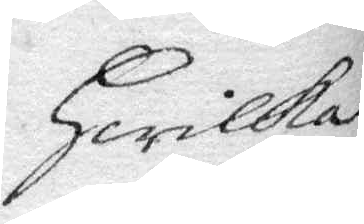Hwilka
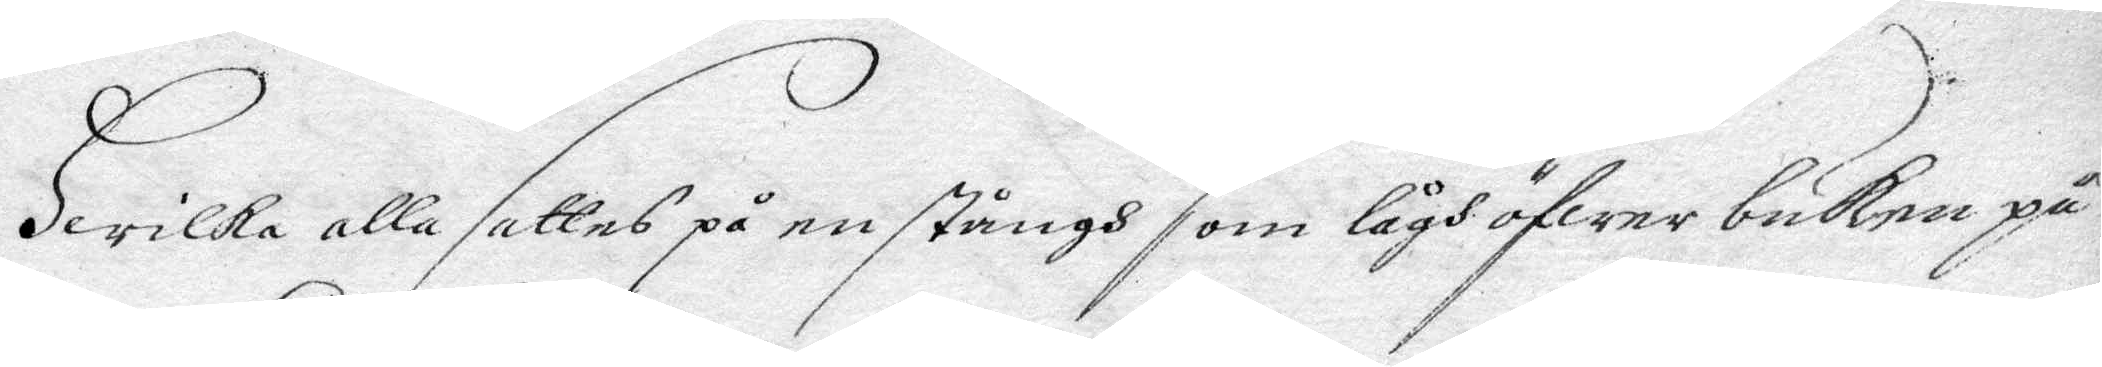Hwilka alla sattes på en stångh som lågh öfwer buken på
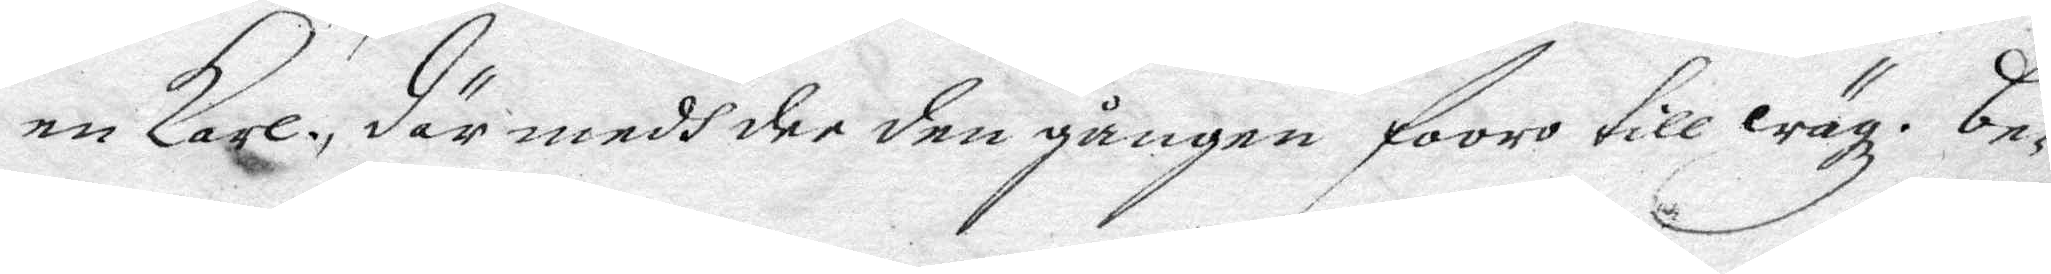en Karl, där medh dee den gången fooro till wägz. Be¬
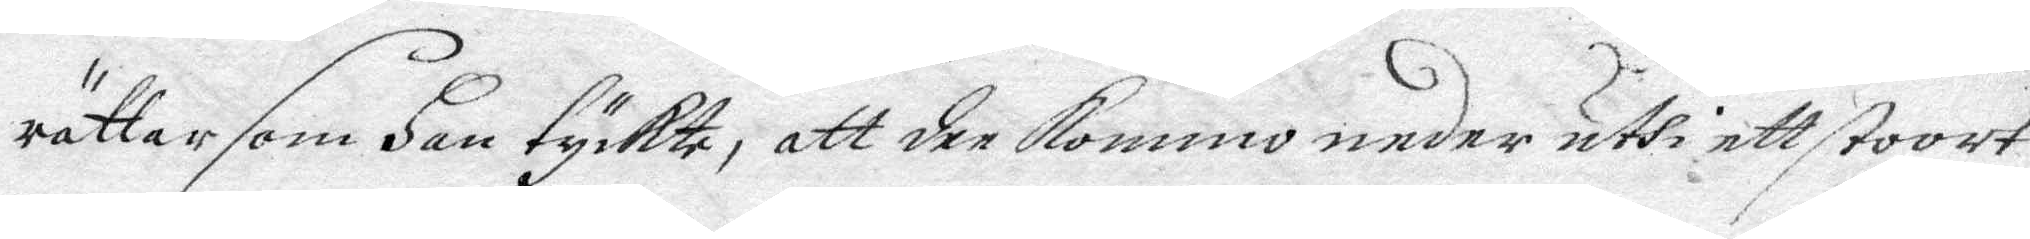rättar som Han tyckte, att dee kommo neder uthi ett stoort
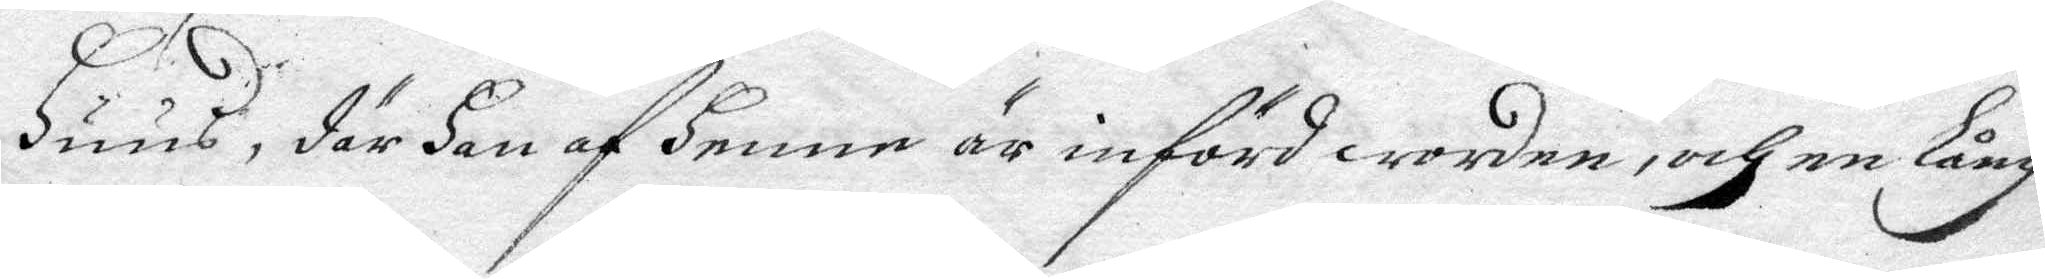Huus, där Han af Henne är införd worden, och en Lång
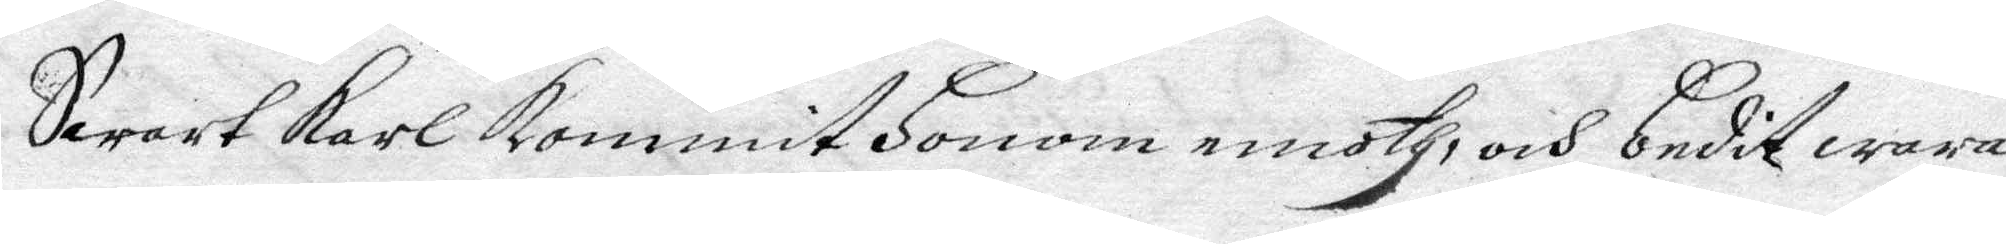Swart Karl kommit Honom emoth, och budit wara
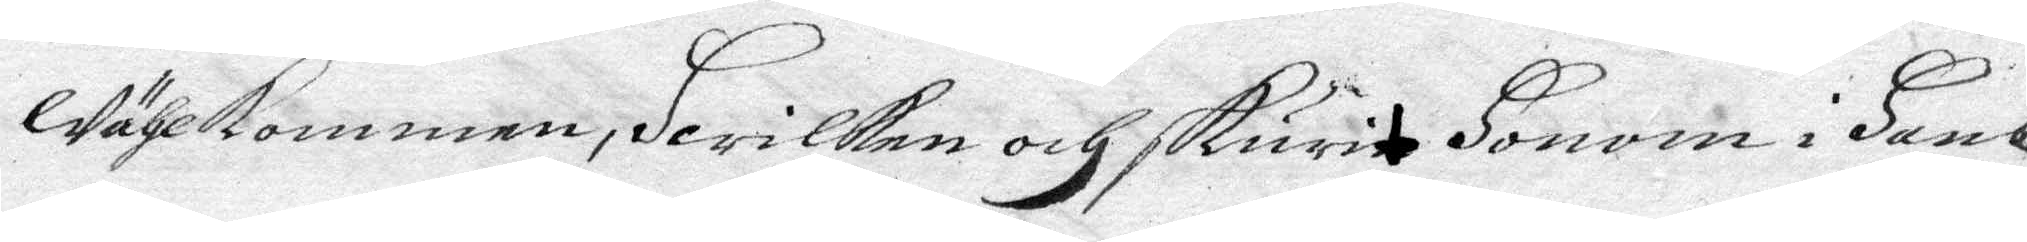wählkommen, Hwilken och skurit Honom i hans
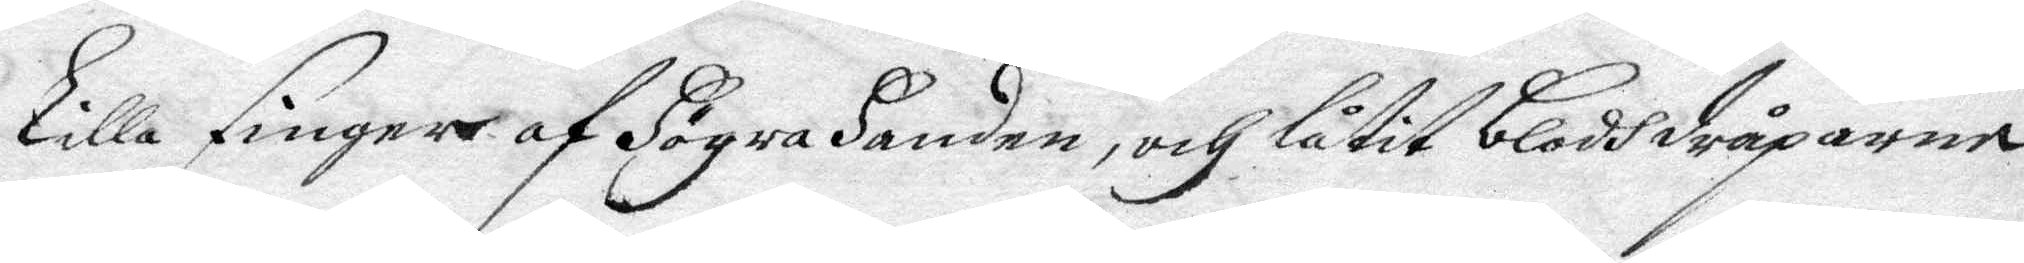Lilla finger af Högra Handen, och låtit blodhdråparne
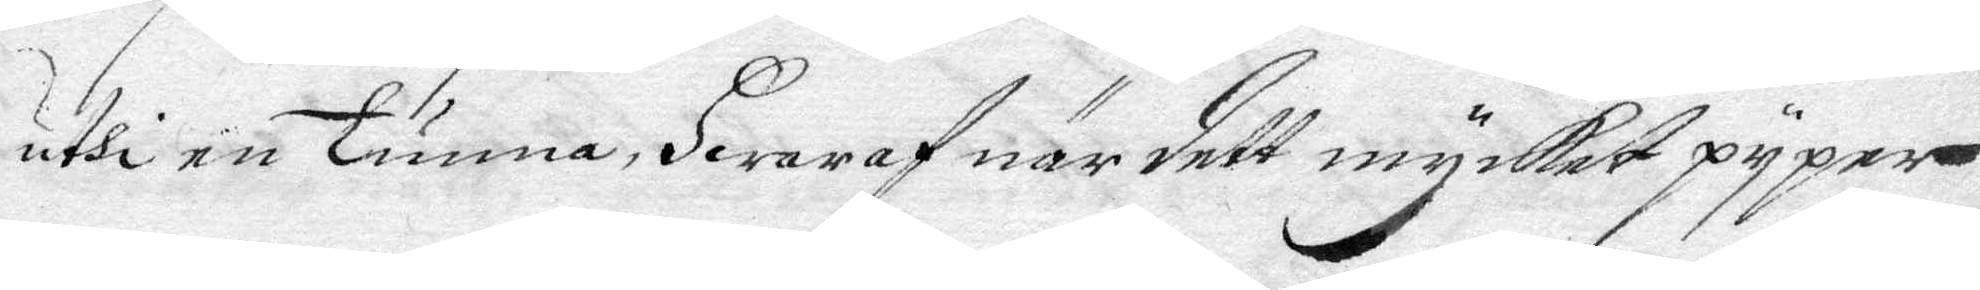uthi en Tunna, Hwaraf när dett mycket pyper
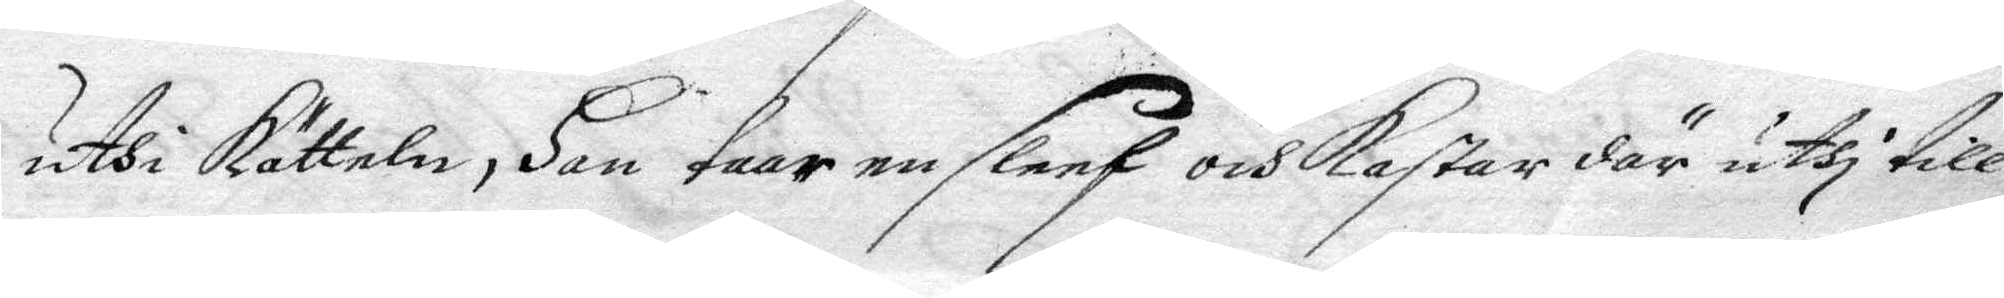uthi kätteln, Han taar en sleef och kastar där uthi till
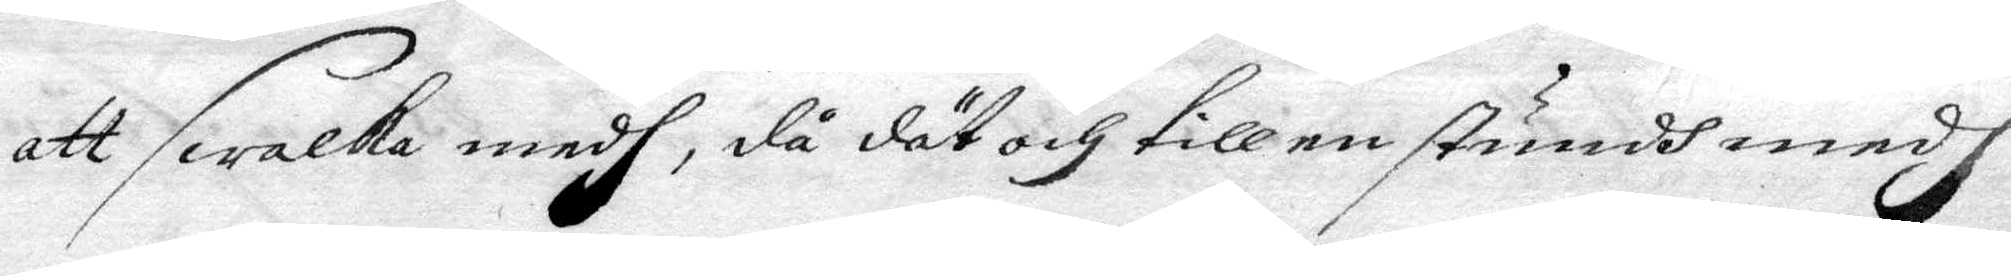att swalka medh, då dät och till en stundh medh
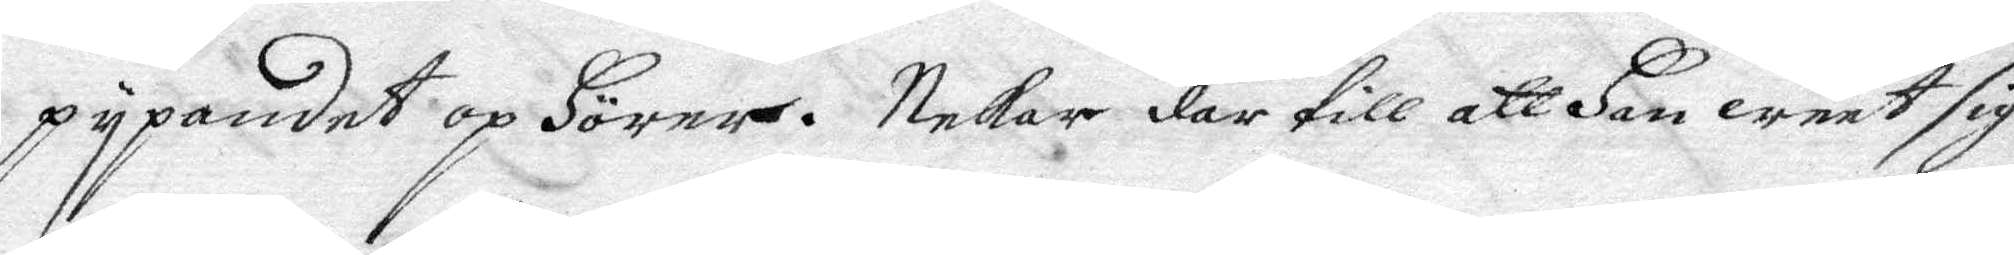pypandet op Hörer. Nekar där till att Han weet sig
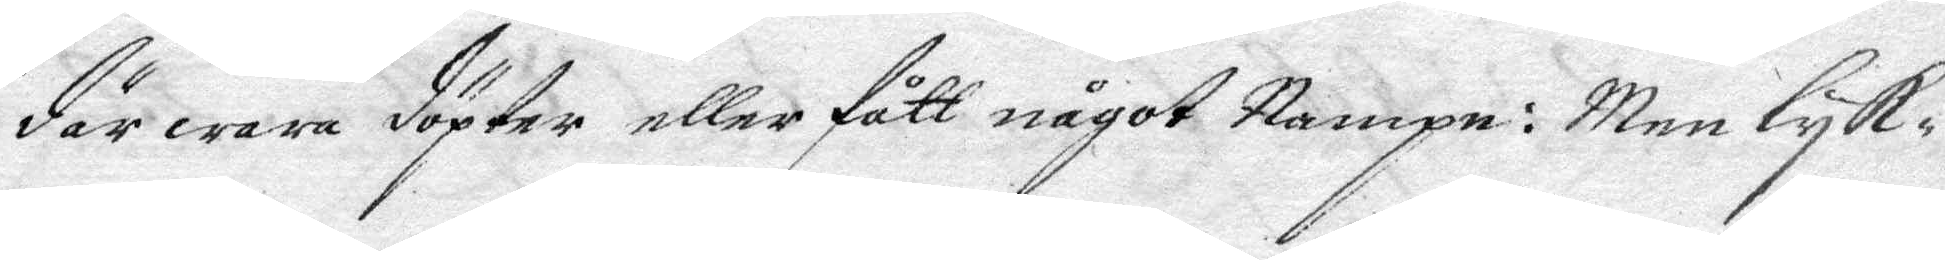där wara döpter eller fått något Nampn: Men lyk¬
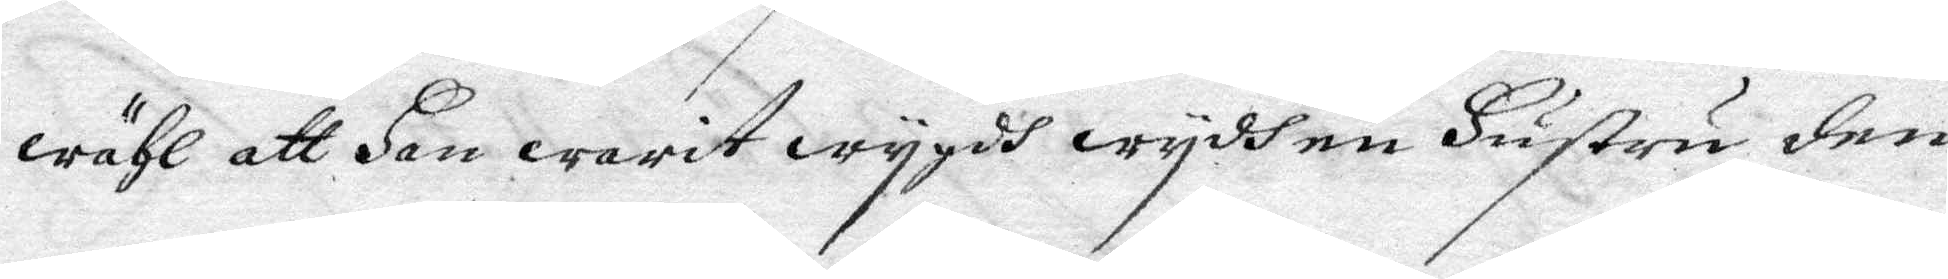wähl att Han warit wygdh wydh en Hustru den
